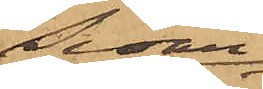Sedan
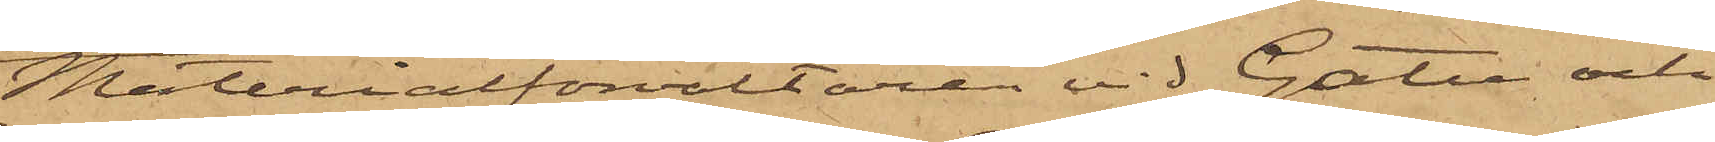Materialförvaltaren vid Gatu och
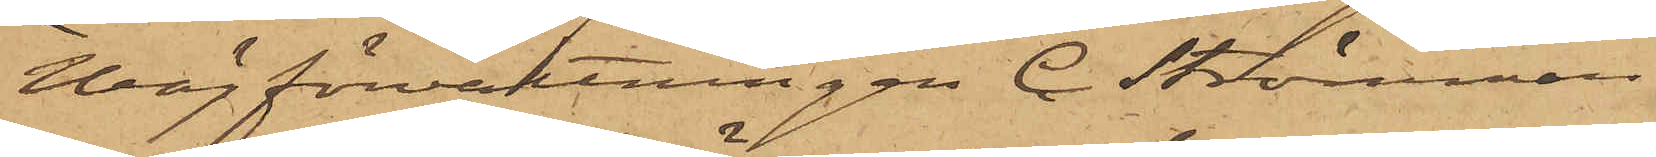Wägförvaltningen C. Strömman
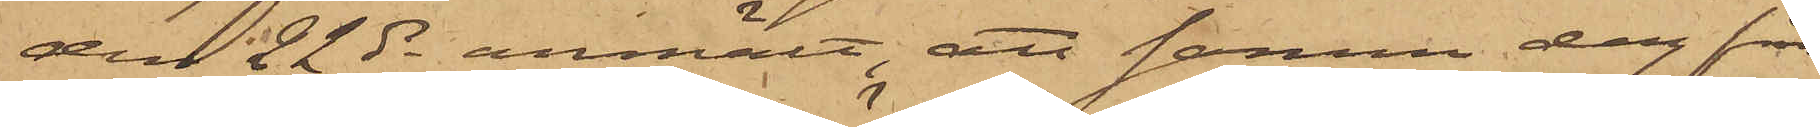den 22 ds anmält, att samma dag från
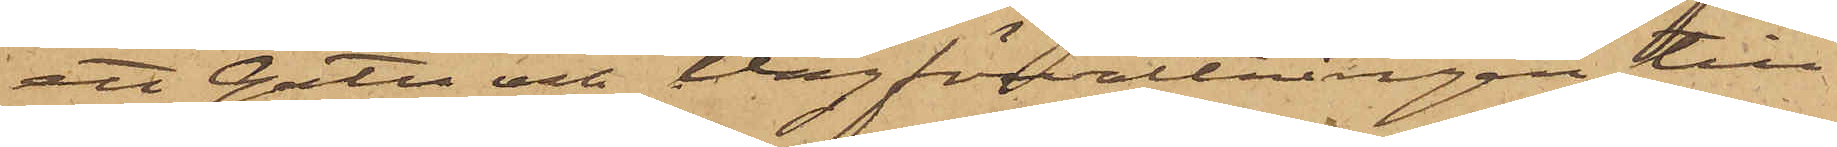ett Gatu och Vägförvaltningen till¬
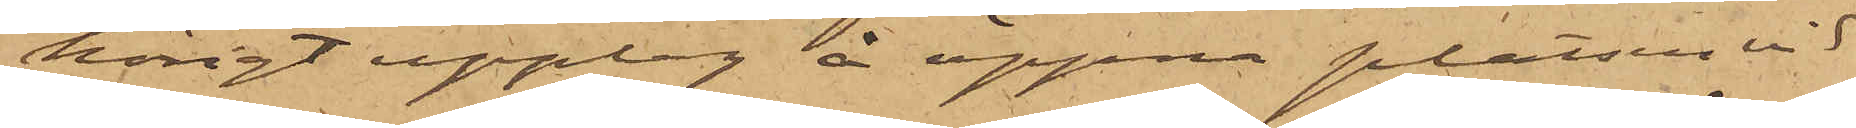hörigt upplag å öppna platsen vid
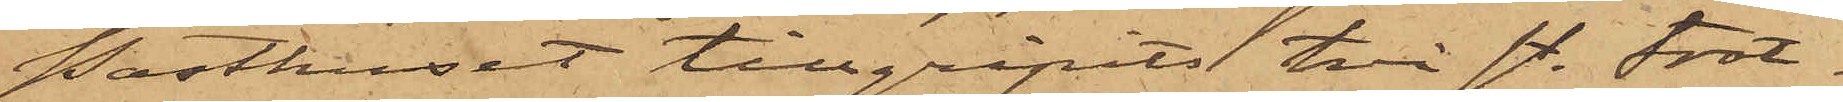Posthuset tillgripits två st. trot¬
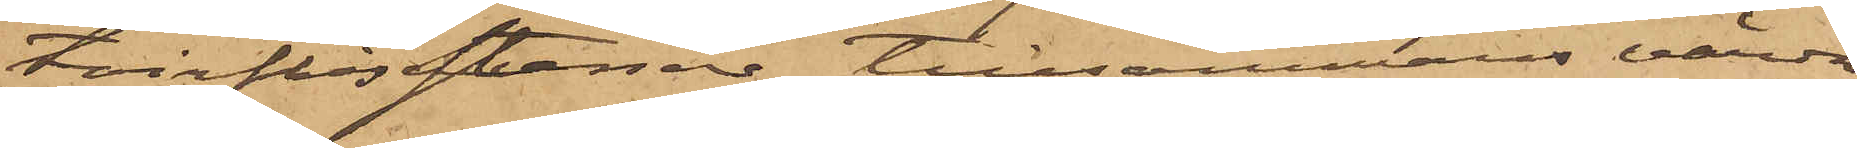toirflisstenar, tillsammans värda
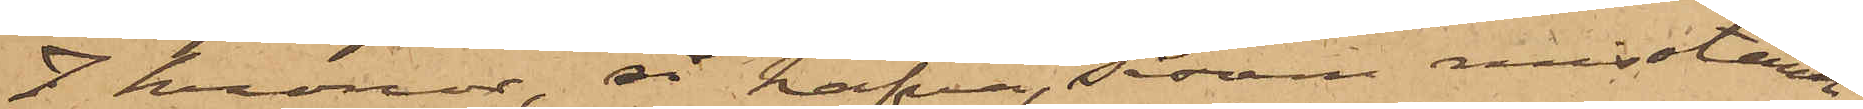7 kronor, så hafva såsom misstänk¬
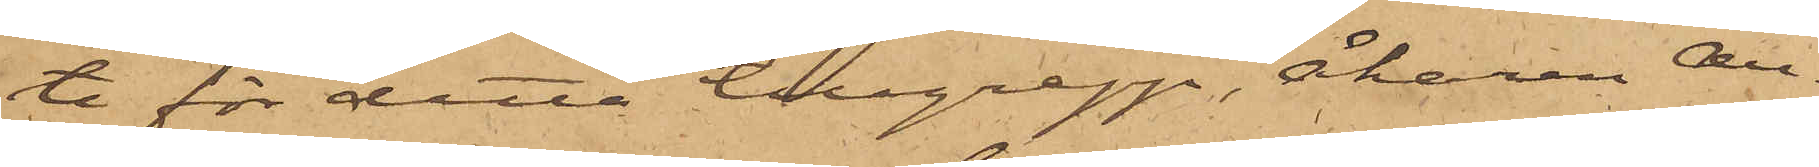te för detta tillgrepp, Åkaren An¬
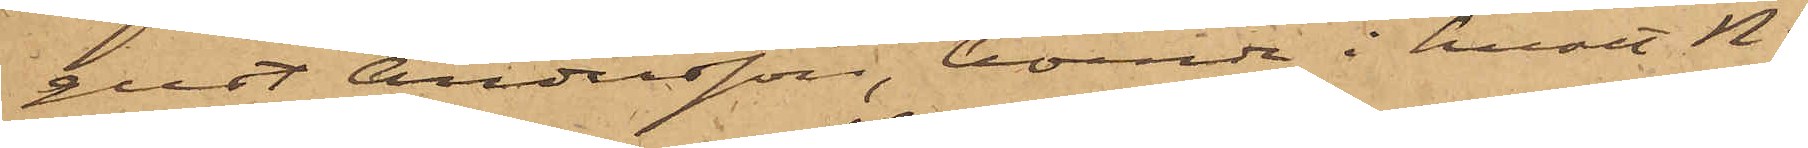gust Andersson, boende i huset No
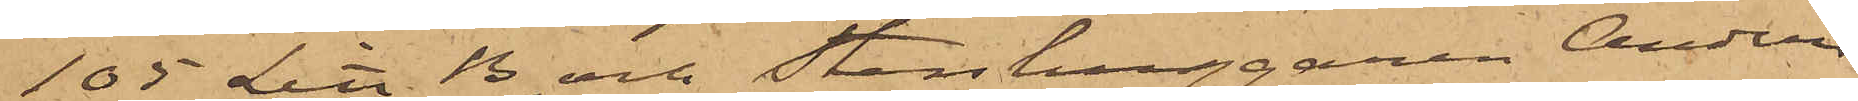105 Litt. B och Stenhuggaren Anders
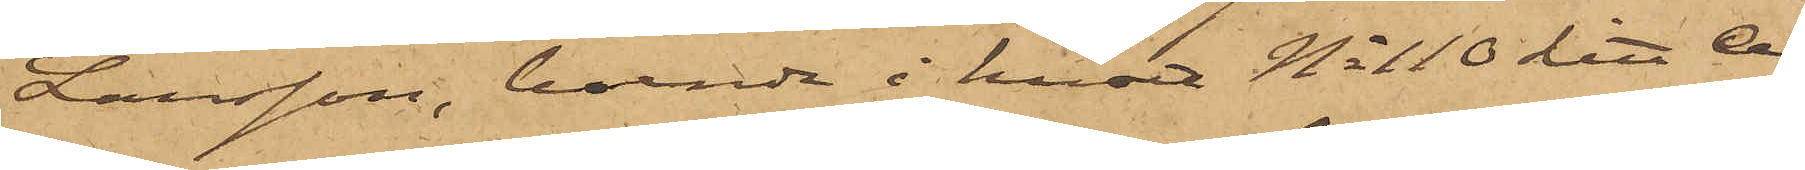Larsson, boende i huset No 110 Litt A
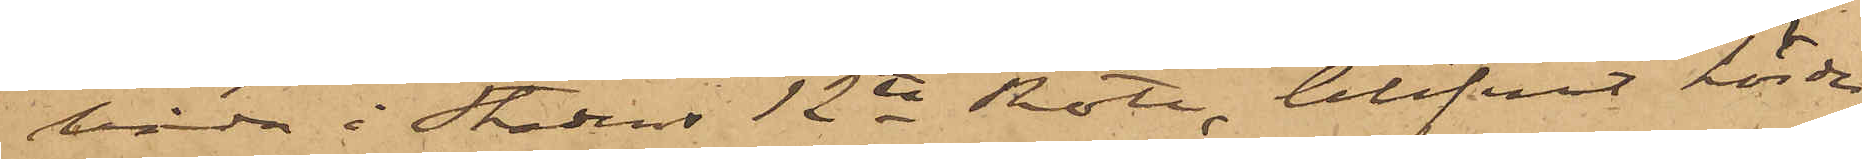båda i Stadens 12te Rote, blifvit hörde,
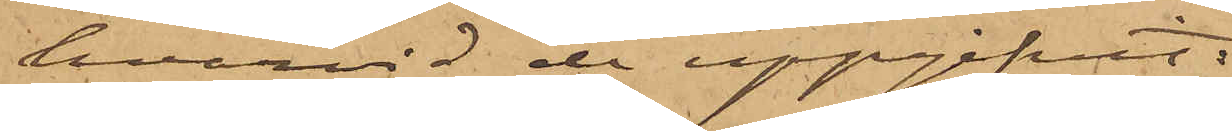hvarvid de uppgifvit:
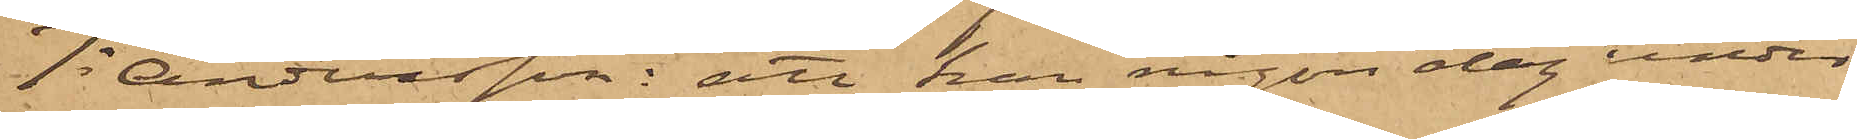1o Andersson: att han någon dag under
